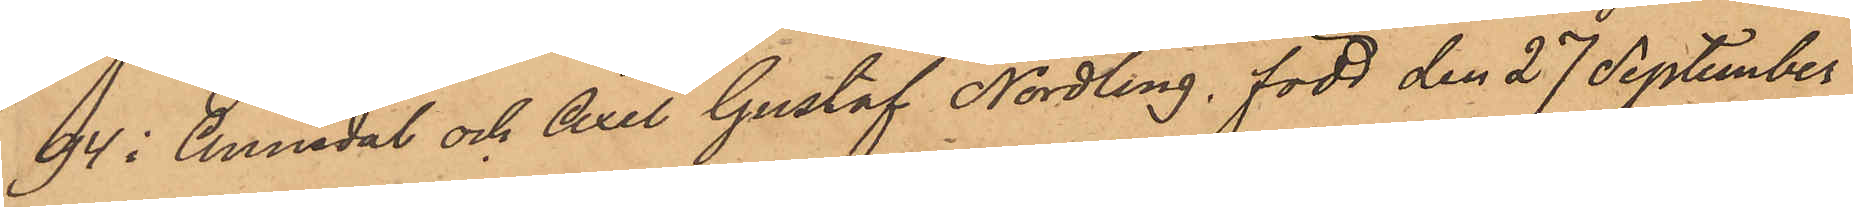94 i Annedal och Axel Gustaf Nordling, född den 27 September
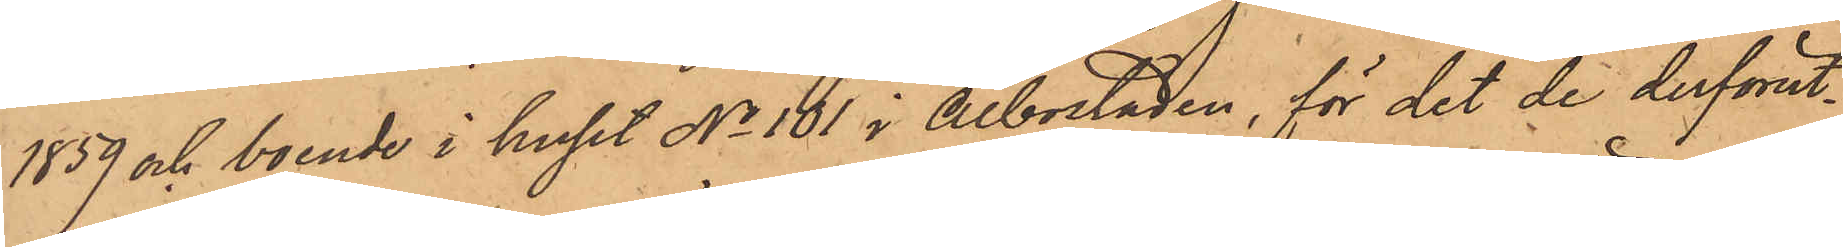1859 och boende i huset No 101 i Albostaden, för det de derförut¬
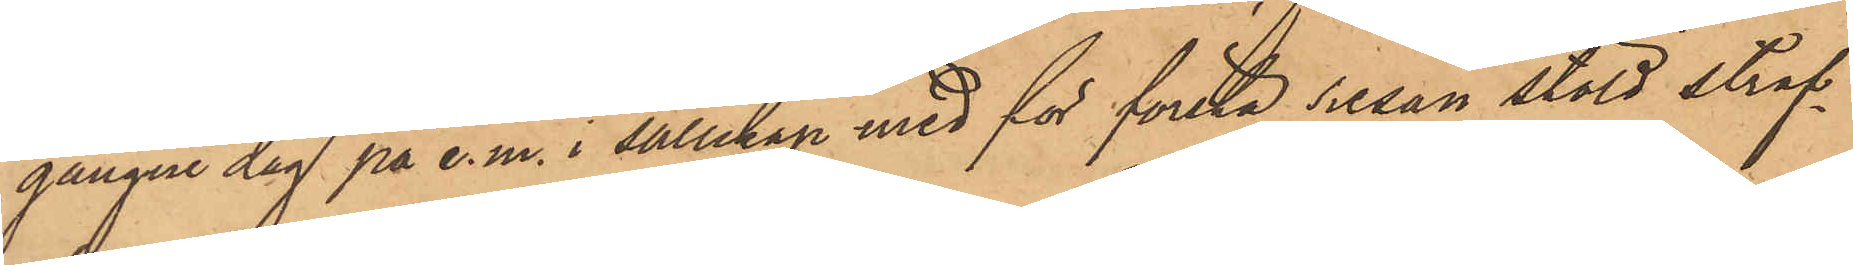gångne dag på e. m. i sällskap med för första resan stöld straf¬
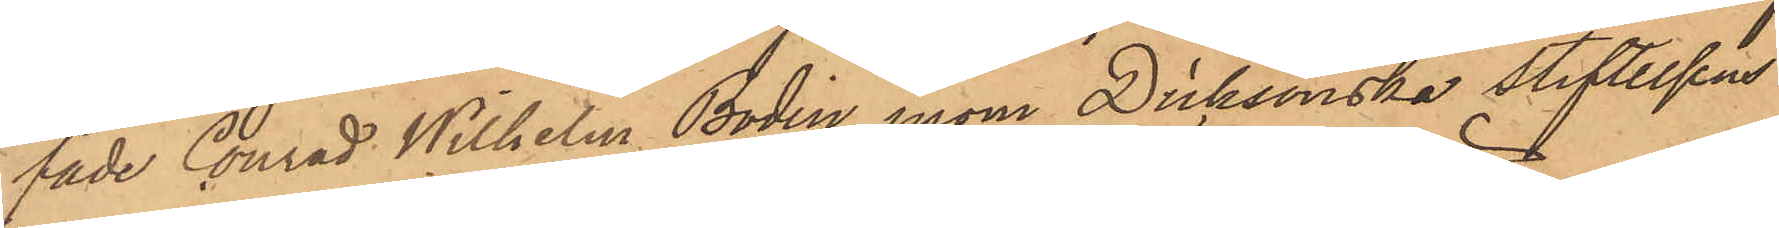fade Conrad Wilhelm Bodin, inom Dicksonska sliftelsens
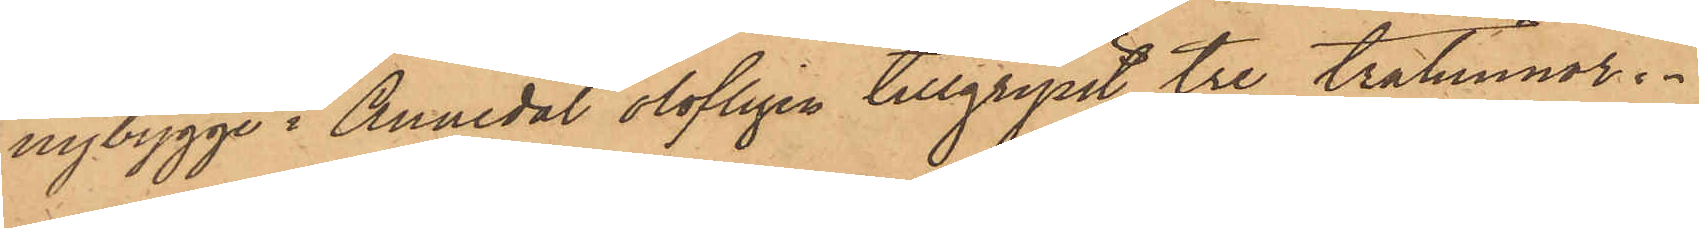nybygge i Annedal olofligen tillgripit tre trätunnor.
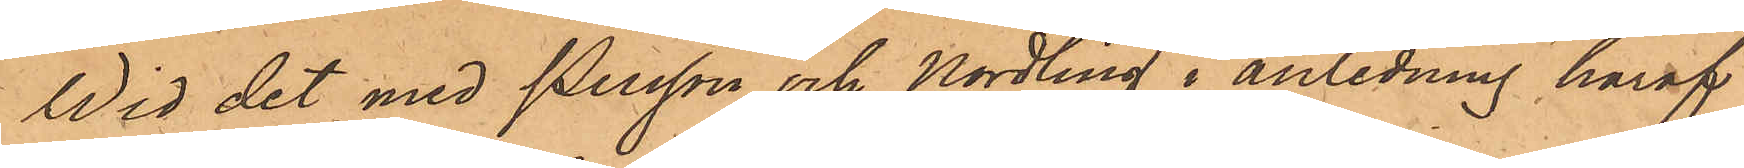Wid det med Persson och Nordling i anledning häraf
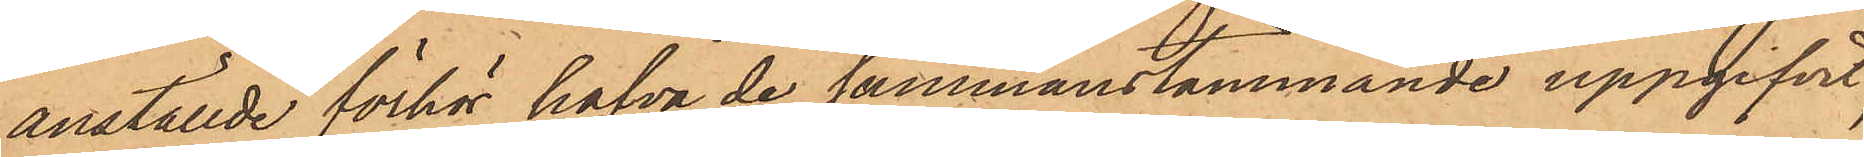anställde förhör hafva de sammanstämmande uppgifvit,
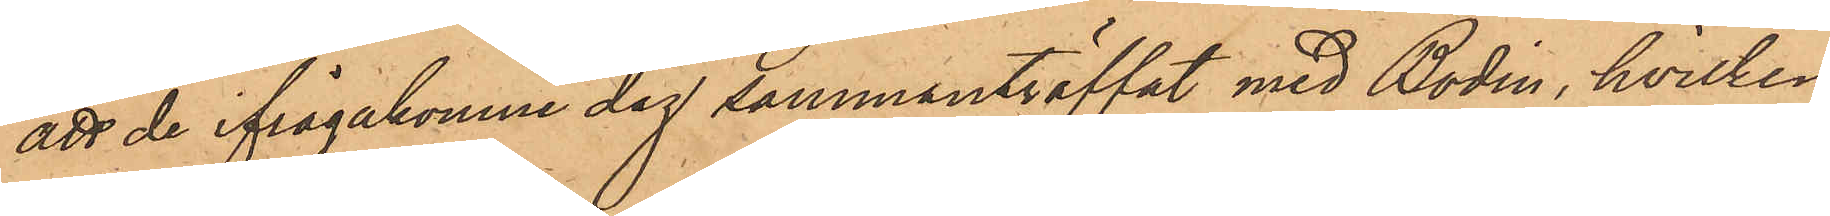att de ifrågakomne dag sammanträffat med Bodin, hvilken
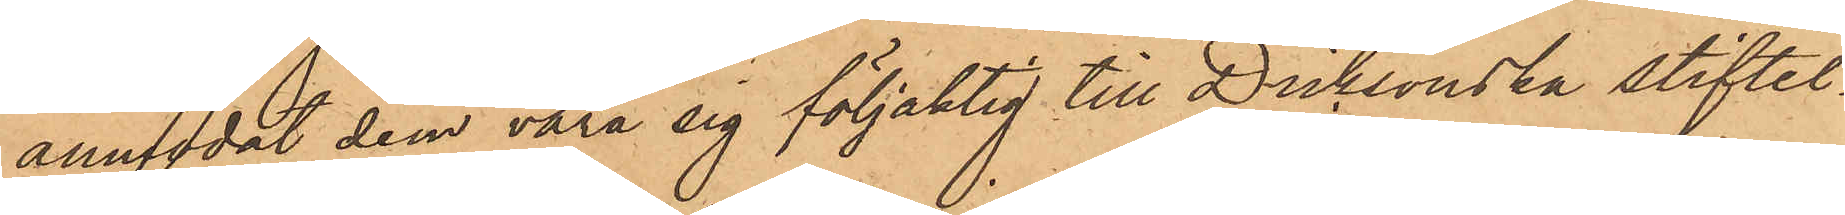anmodat dem vara sig följaktig till Dicksonska stiftel¬
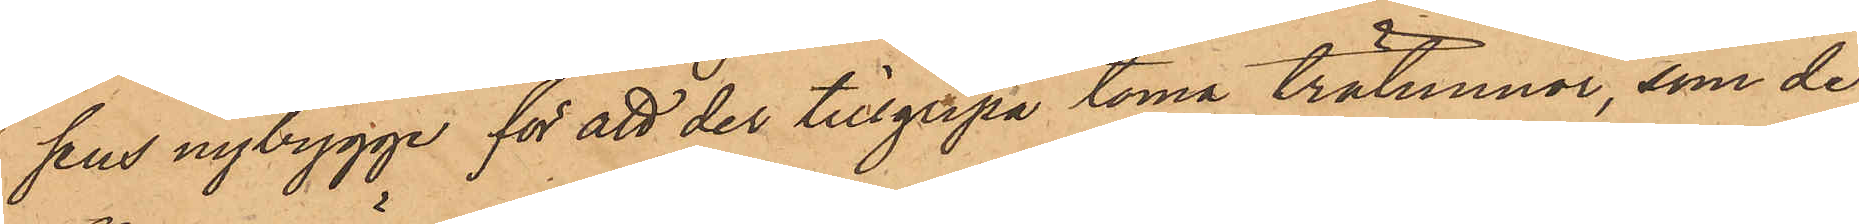sens nybygge för att der tillgripa toma trätunnor, som de
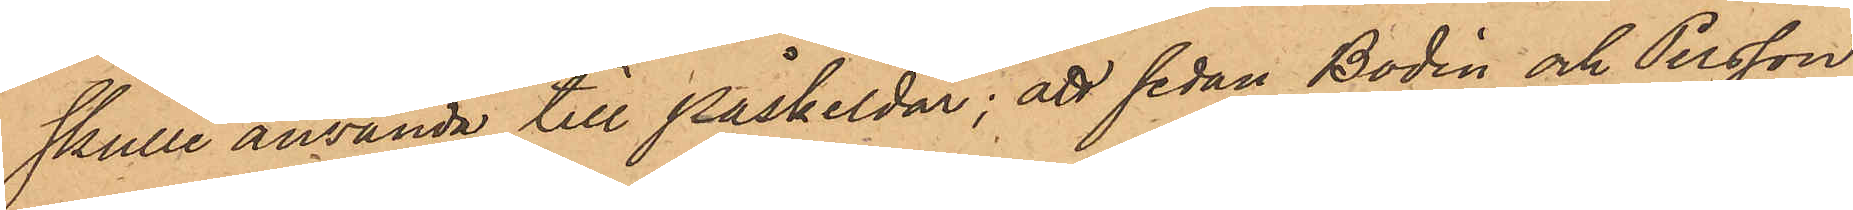skulle använda till påskeldar; att sedan Bodin och Persson
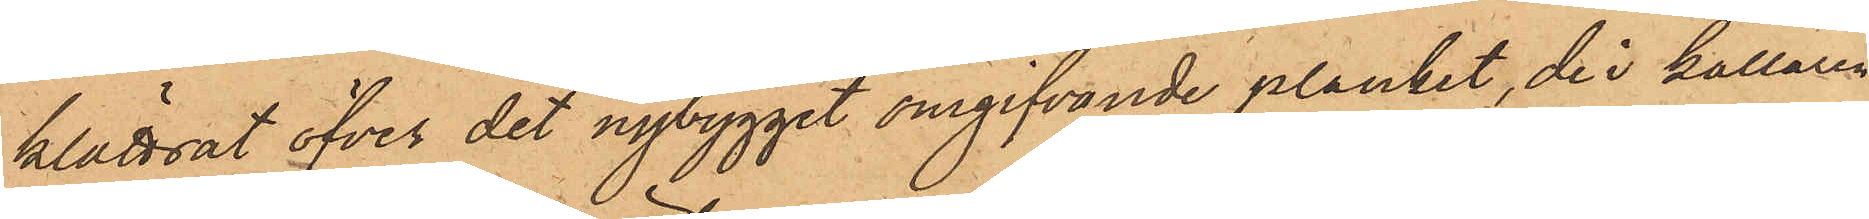klättrat öfver det nybygget omgifvande planket, de i källaren
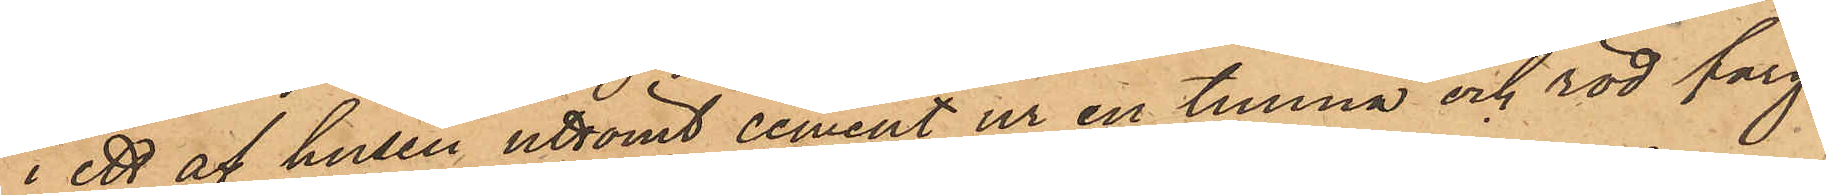i ett af husen uttömt cement ur en tunna och röd färg
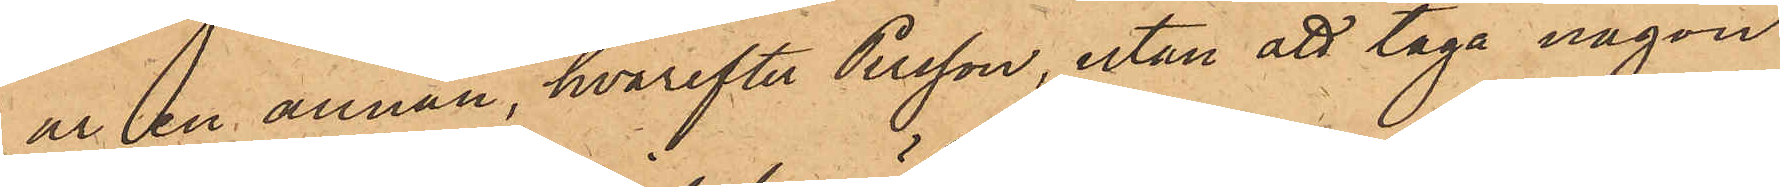ur en annan, hvarefter Persson, utan att taga någon
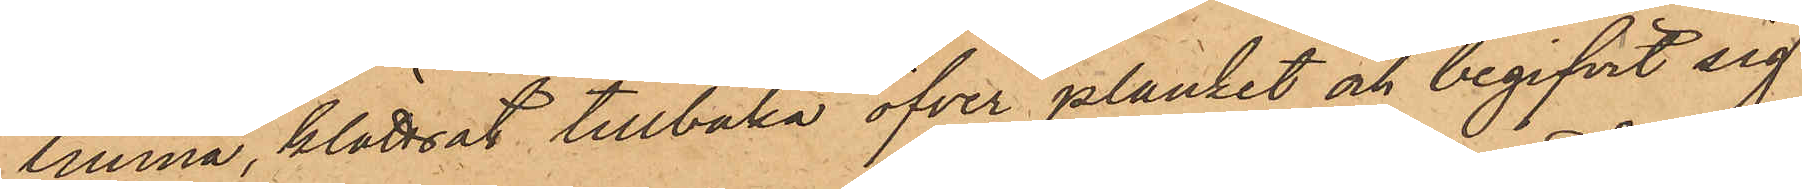tunna, klättrat tillbaka öfver planket och begifvit sig
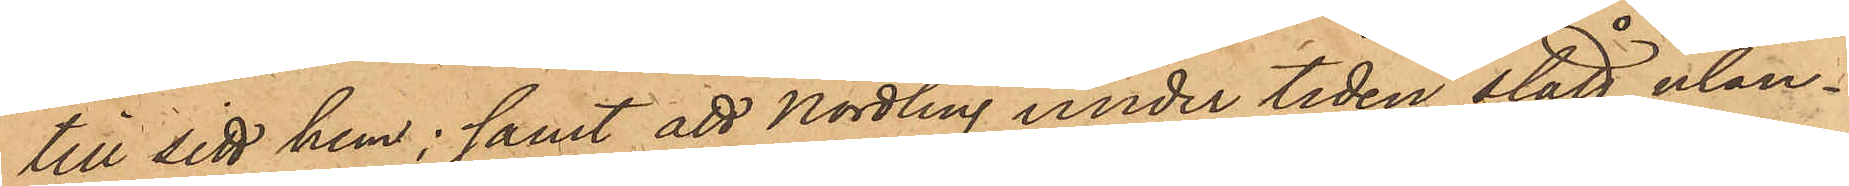till sitt hem; samt att Nordling under tiden stått utan¬
